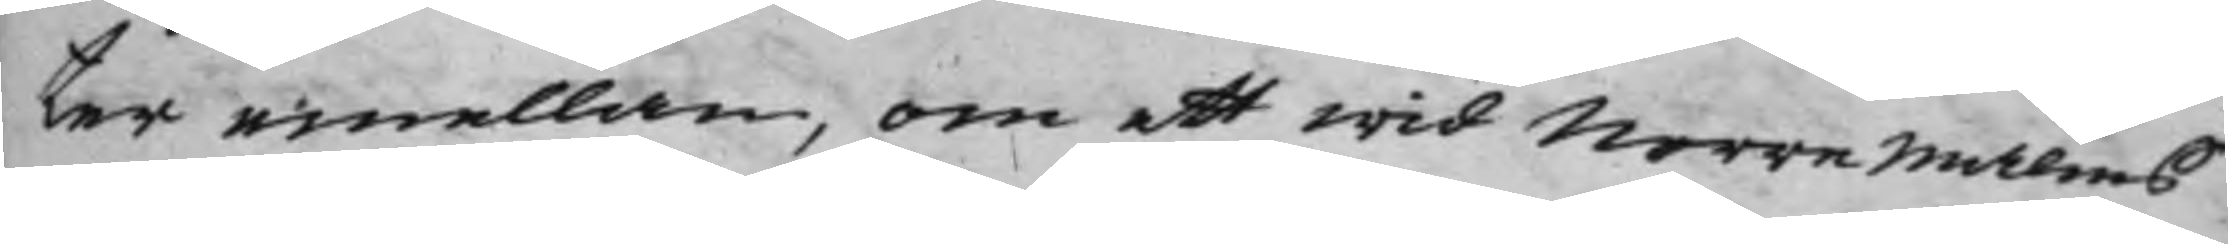ter emellan, om ett wid Norre Malms
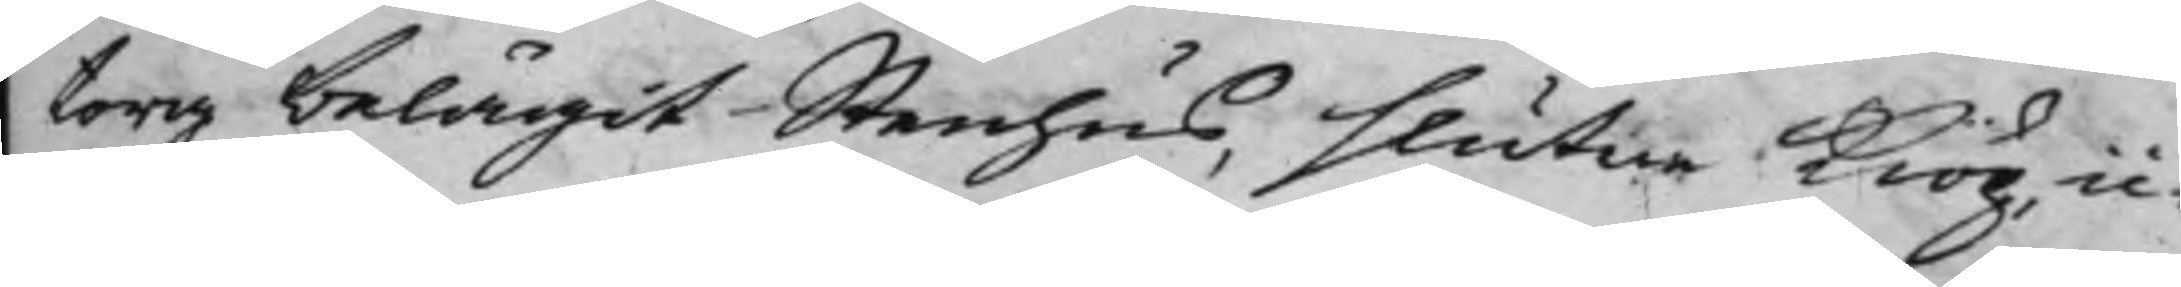torg belägit Stenhus, slutne Kiöp ic¬
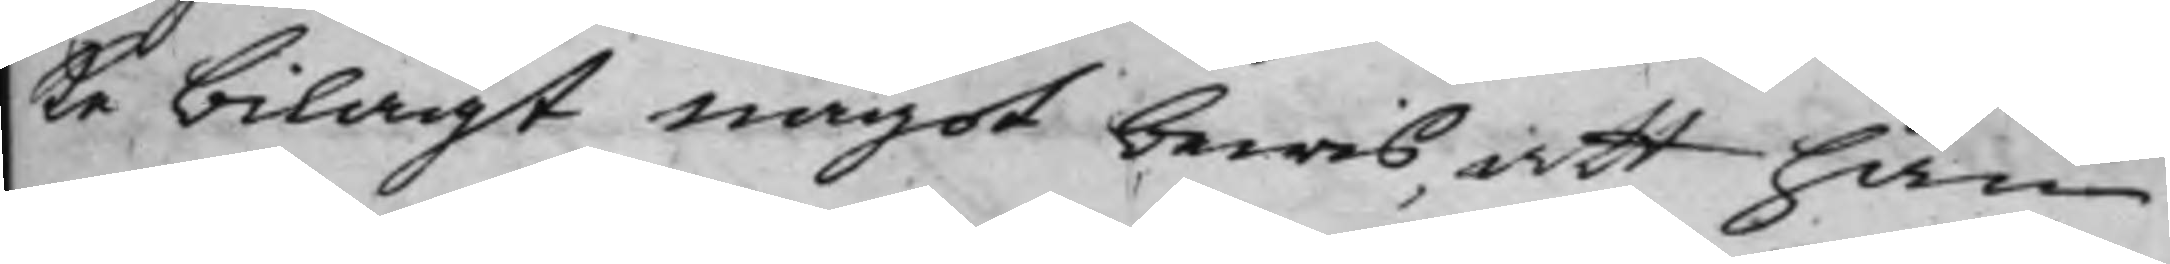ke bilagt något bewis, att han
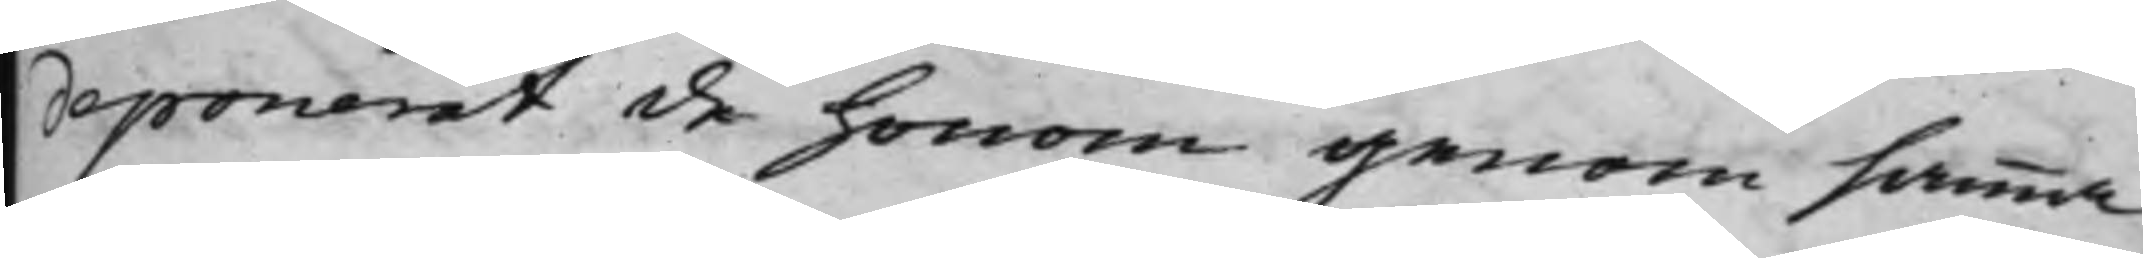deponerat de honom genom samma
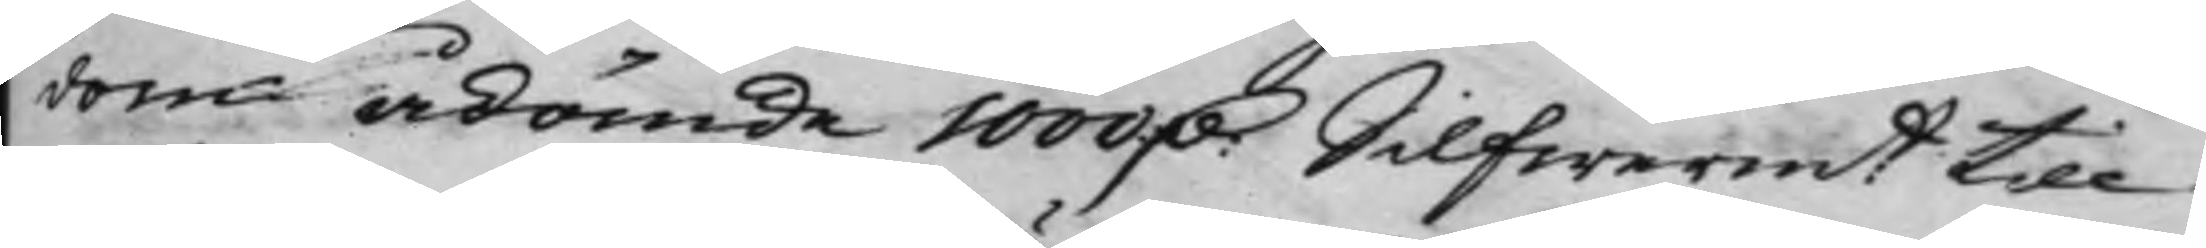dom ådömde 1000 D: Silfwermt till 
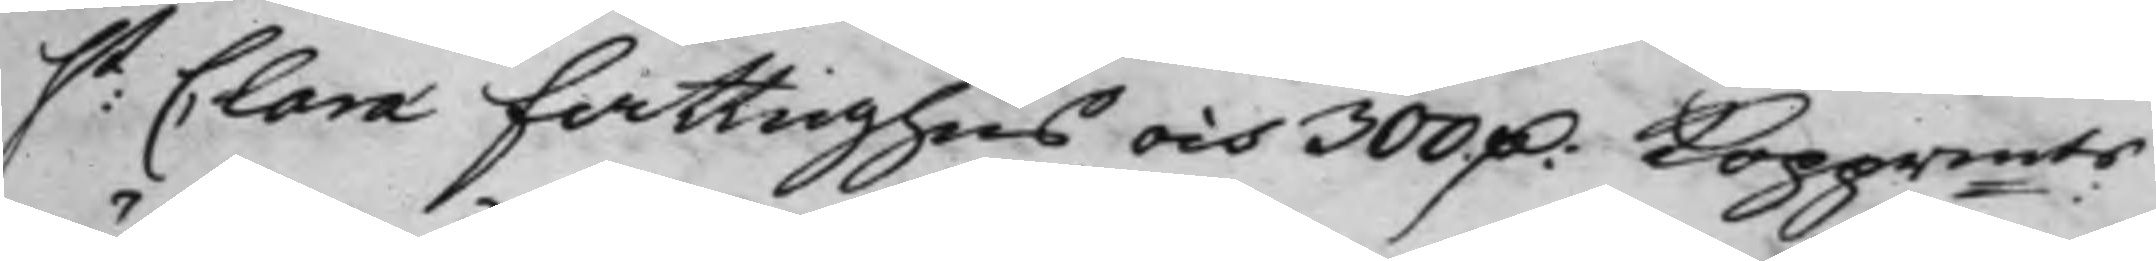st: Clara fattighus och 300 D: Kopprmts 
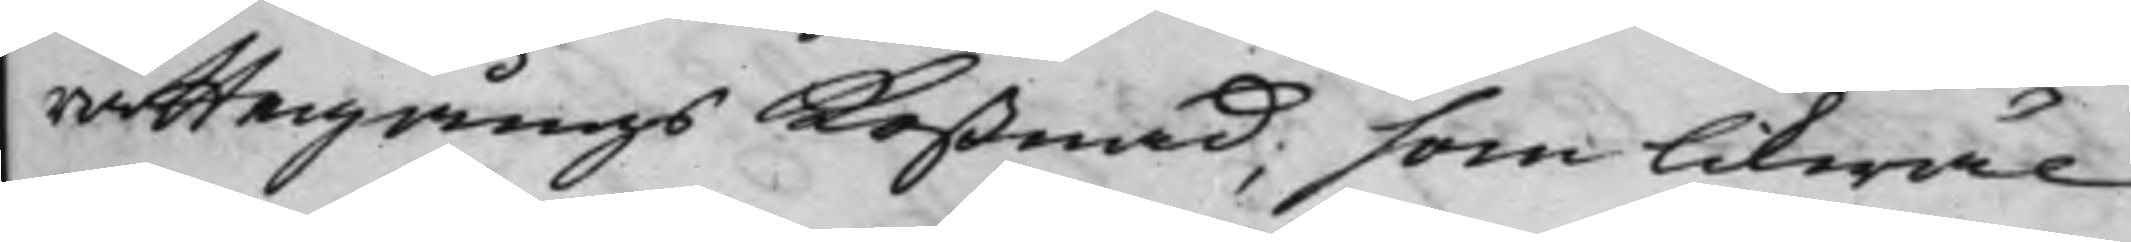rättegångs Kostnad; som likwäl
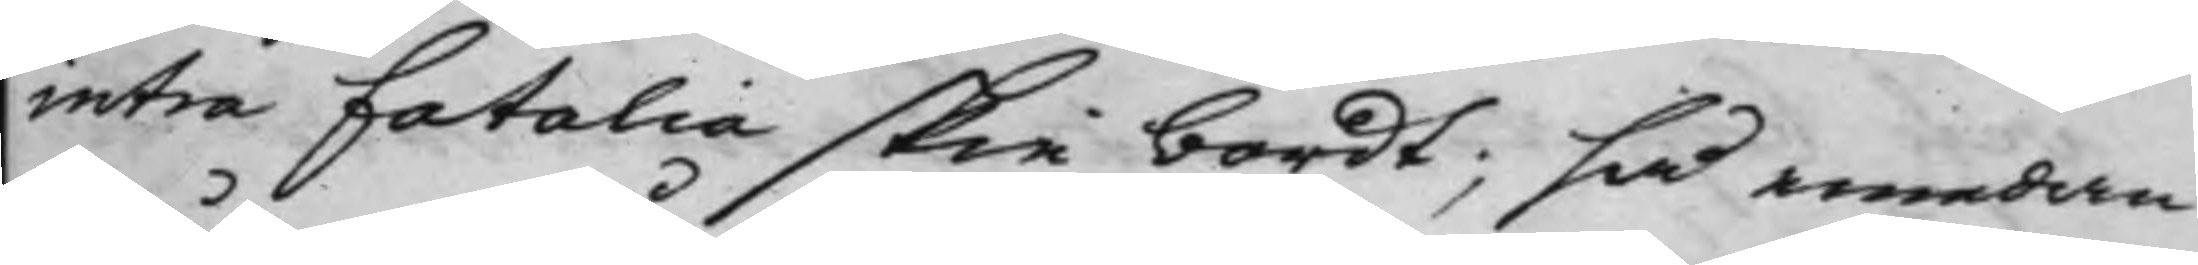intra fatalia skie bordt; så emedan
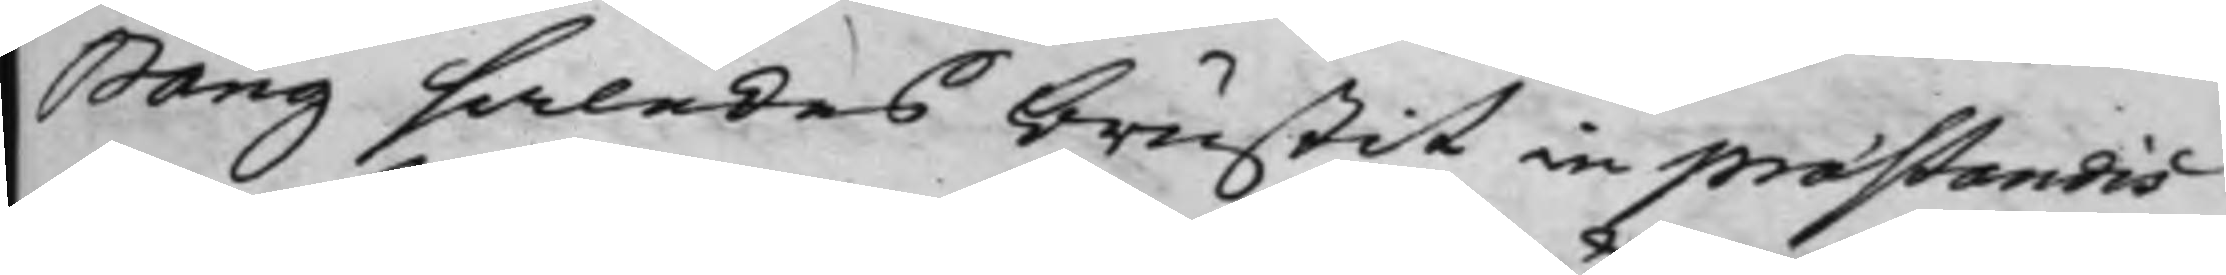Bång således brustit in præstandis
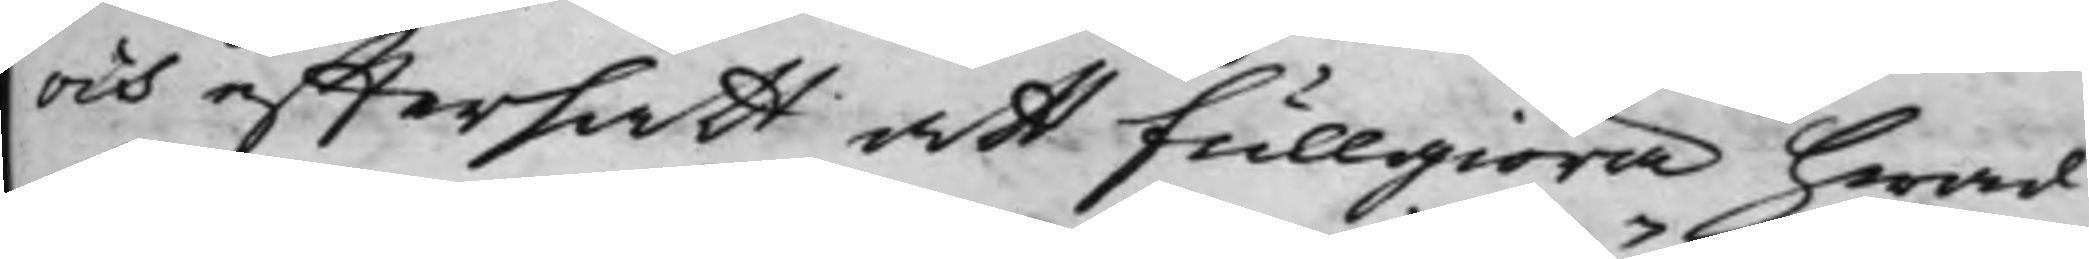och efftersatt att fullgiöra hwad
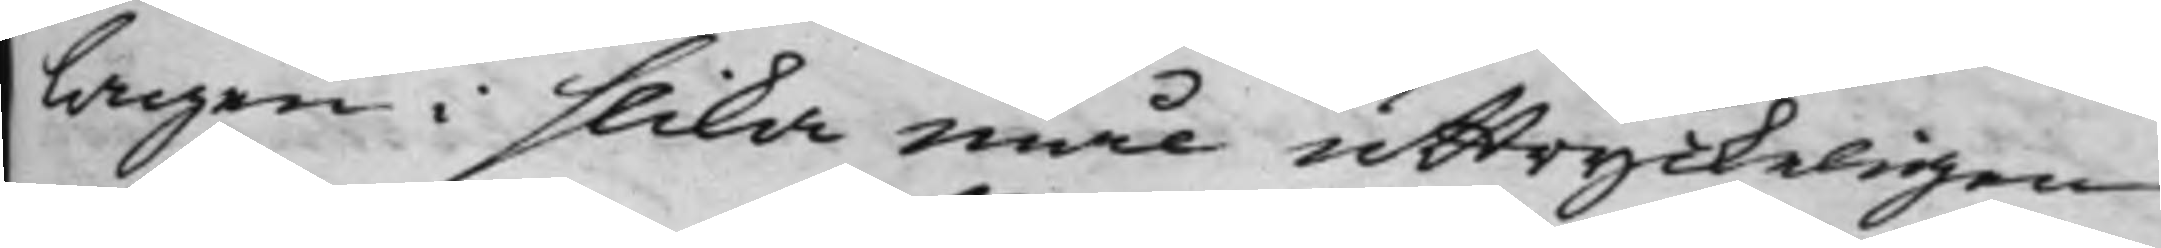lagen i slika mål uttryckeligen
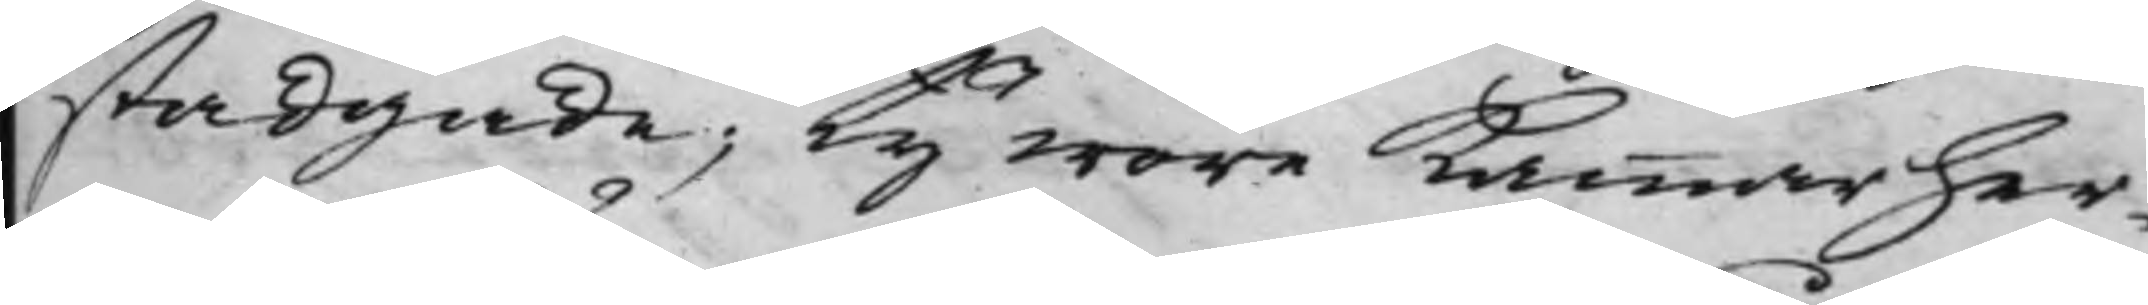stadgade; Ty wore Kammarher¬
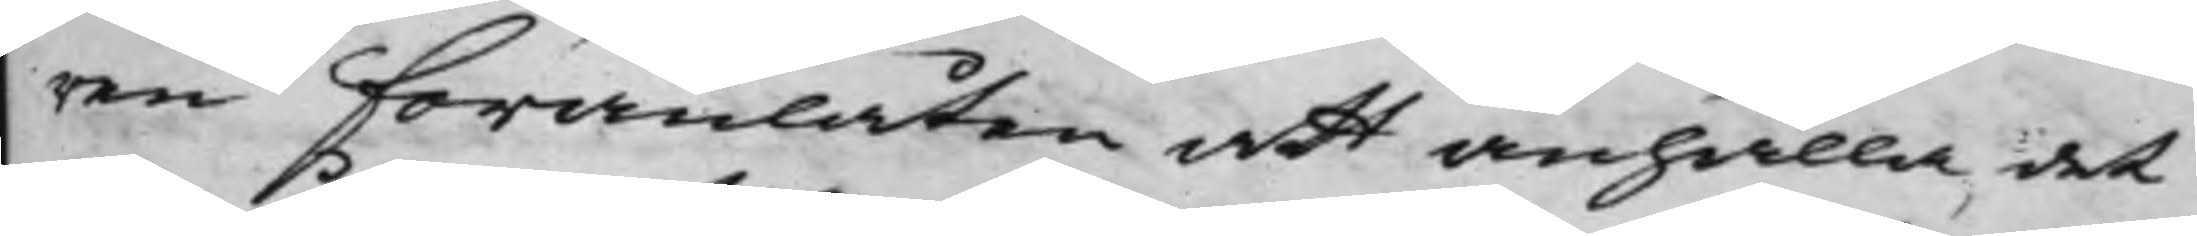ren föranlåten att anhålla, det
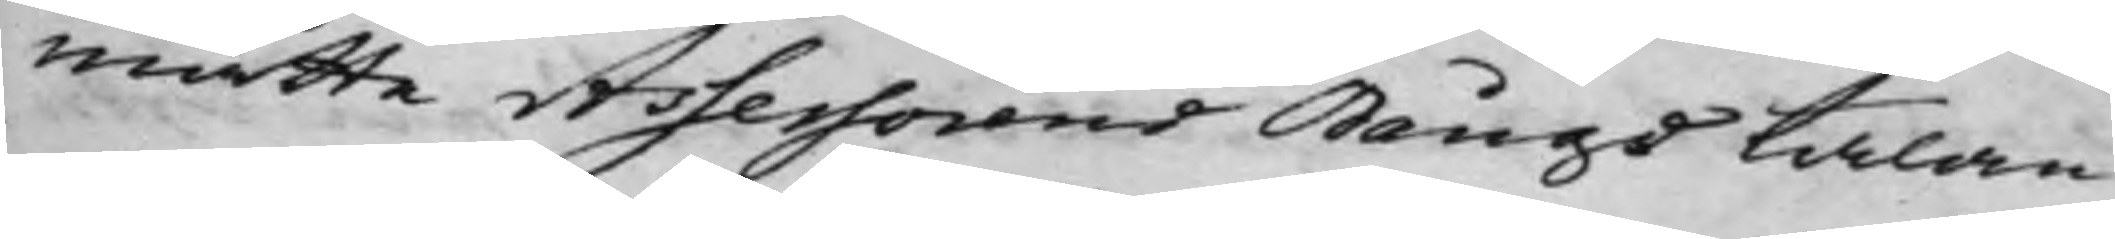måtte Assessorens Bångs talan
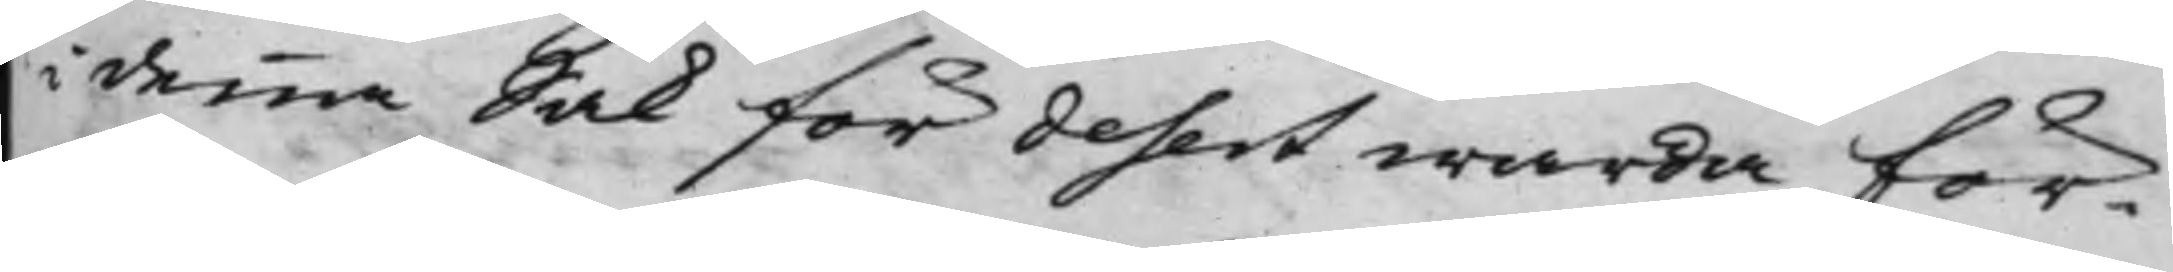i denna Sak för desert warda för¬
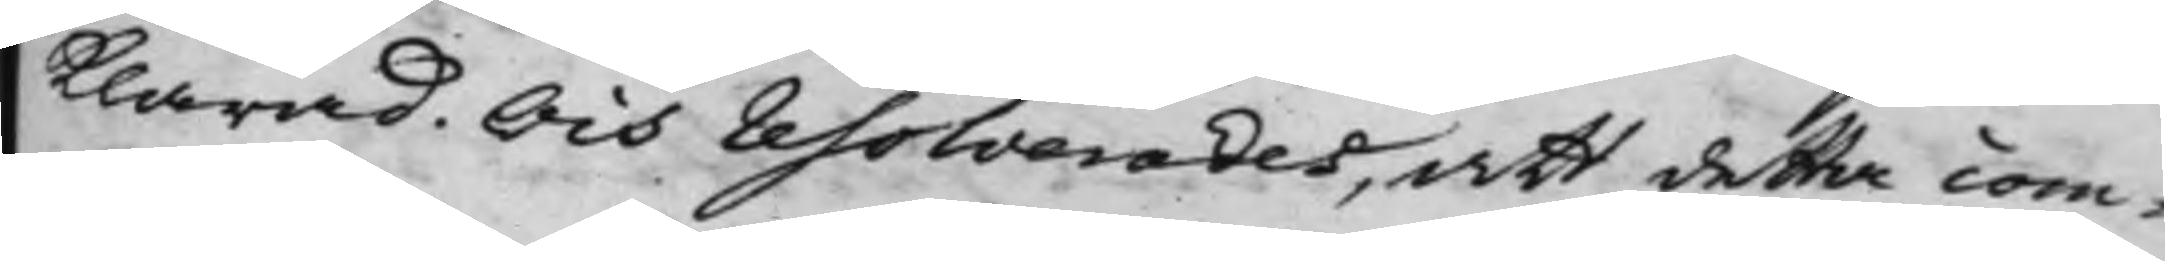klarad. Och resolverades, att detta com¬
